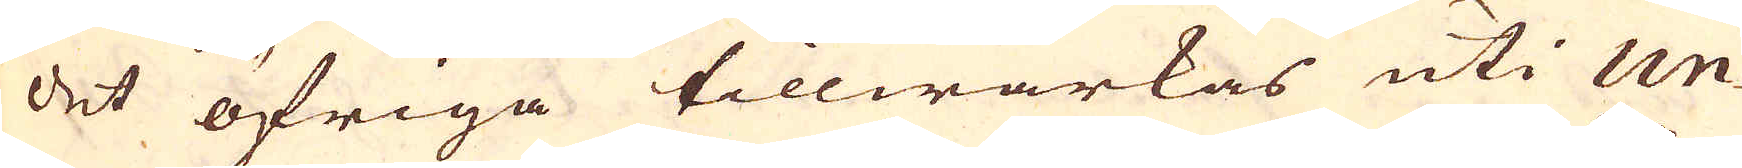det öfriga tillwärkas uti Un-
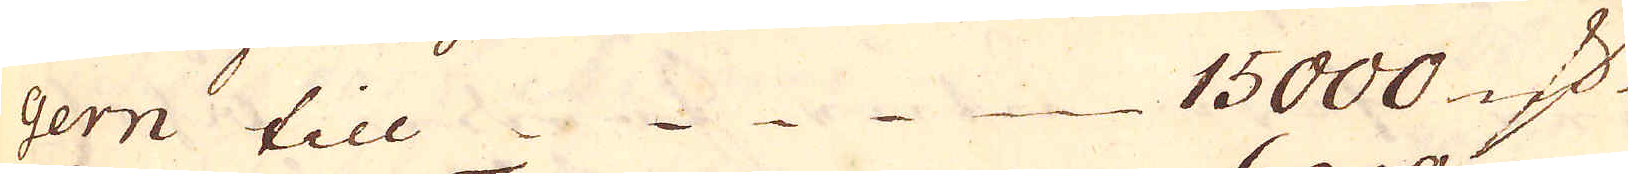gern till 15000 marker
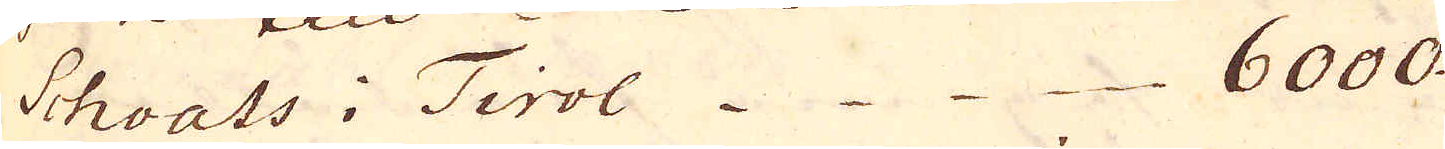Schoals i Tirol 6000
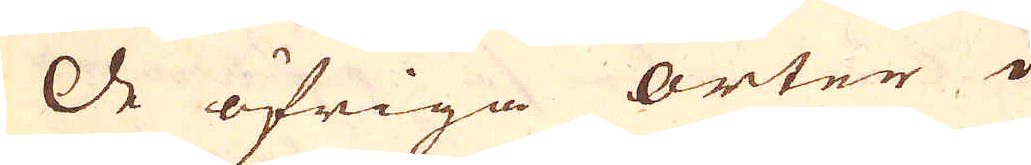De öfriga orter i
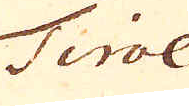Tirol
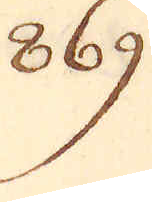869.
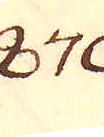870.
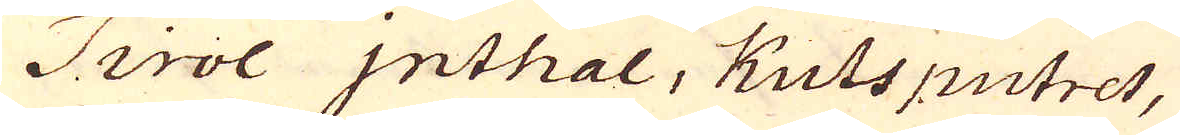Tirol Inthal, Kutsputret,
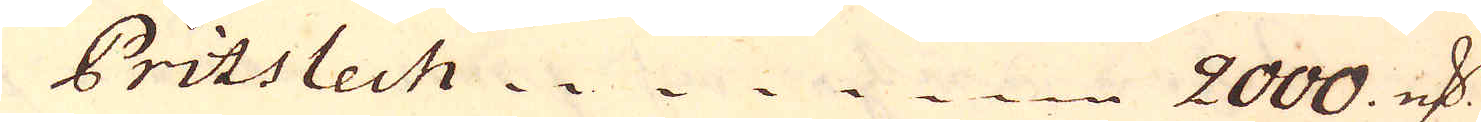Pritslech 2000 marker
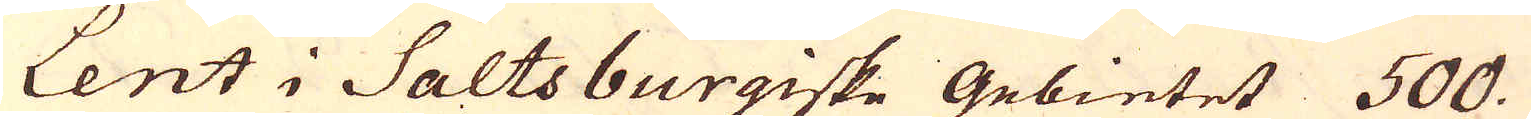Lent i Saltsburgiske Gebietet 500.
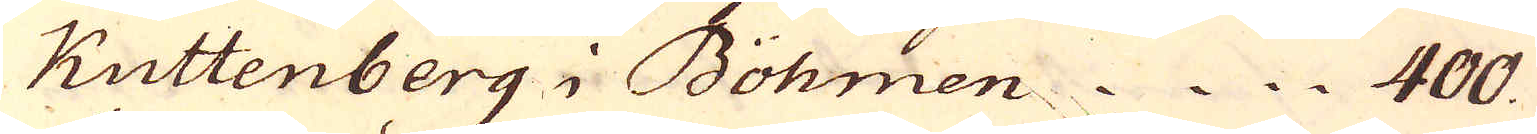Kuttenberg i Bohmen 400.
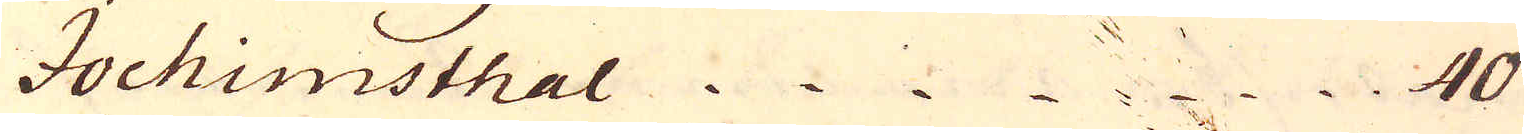Jochimsthal 40.
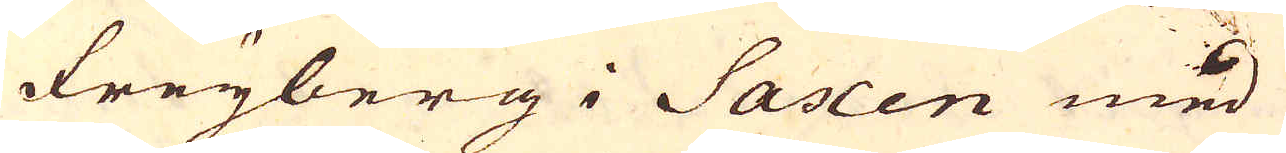Freyberg i Saxen med
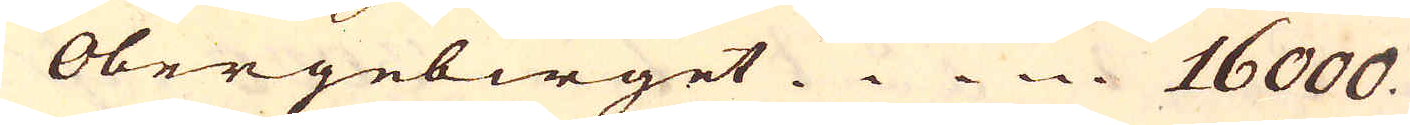Obergeberget 16000.
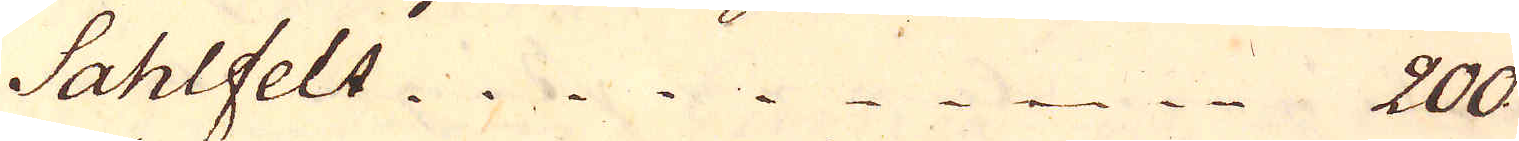Sahlfelt 200.
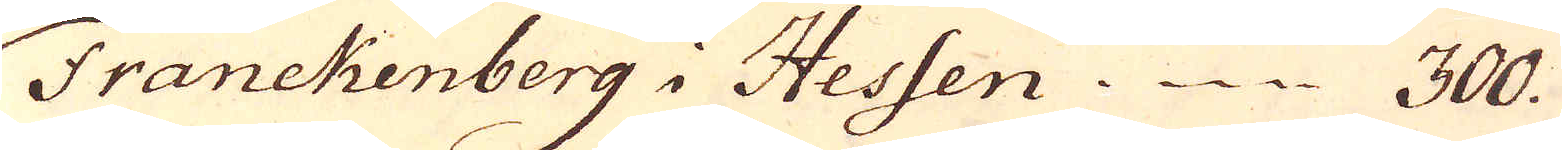Tranckenberg i Hessen 300.
